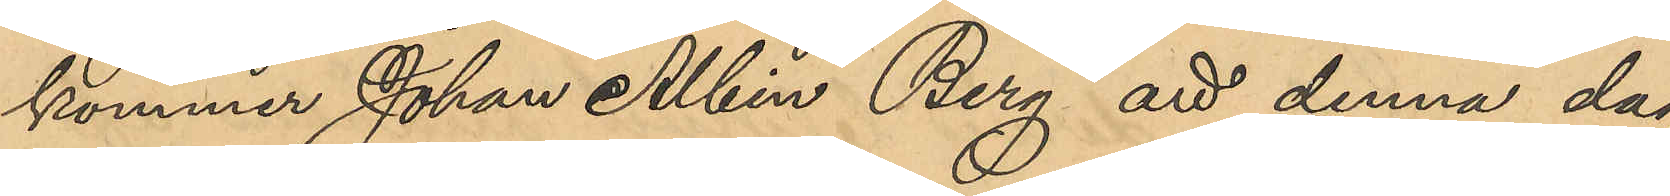kommer Johan Albin Berg att denna dag
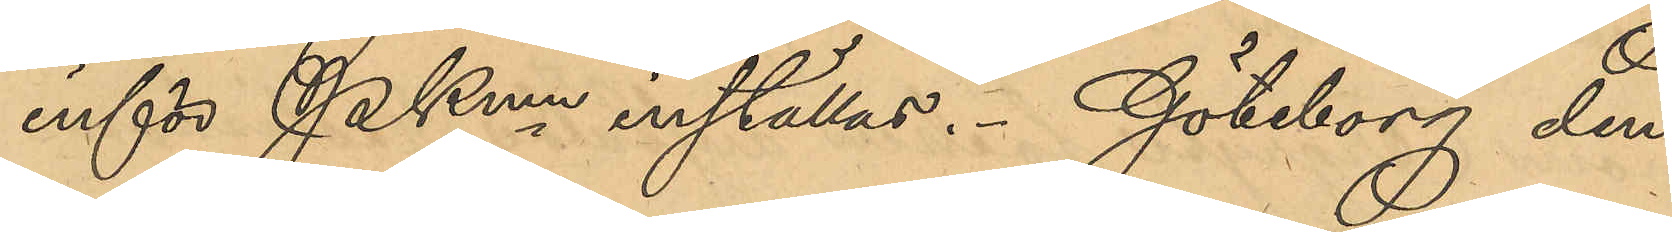inför Pkmn inställas. Göteborg den
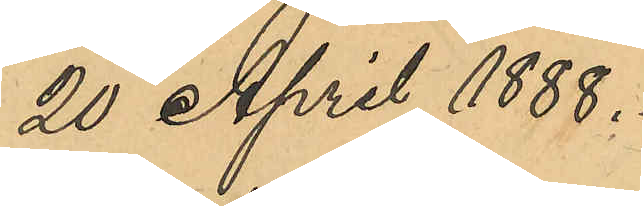20 April 1888.
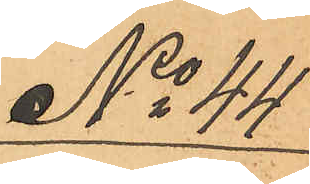No 44
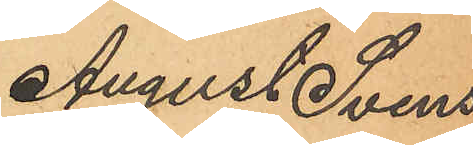August Svens-
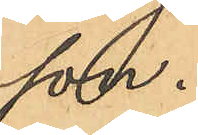son.
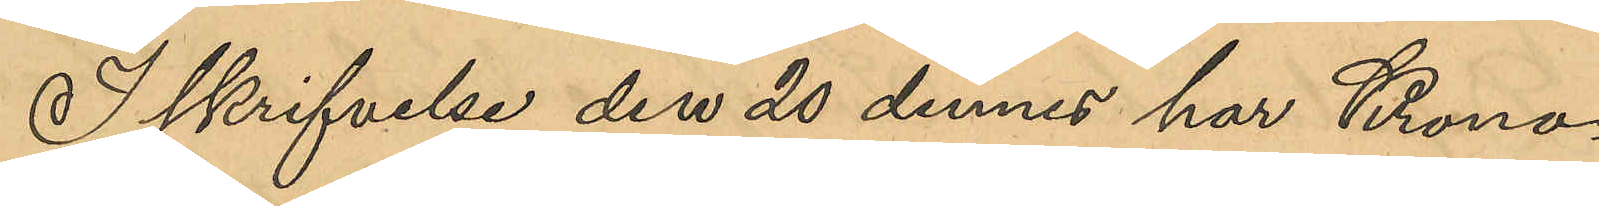I skrifvelse den 20 dennes har Krono¬
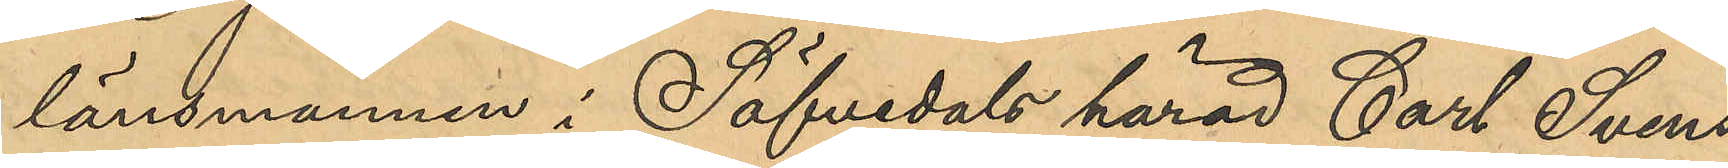länsmannen i Säfvedals härad Carl Svens¬
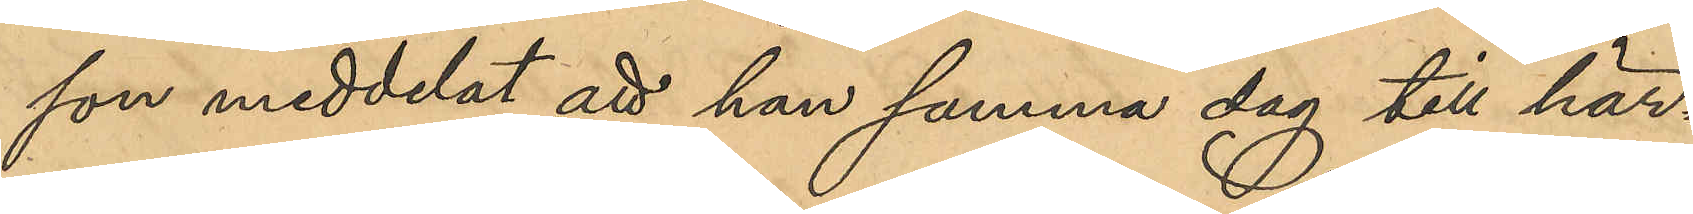som meddelat att han samma dag till här¬
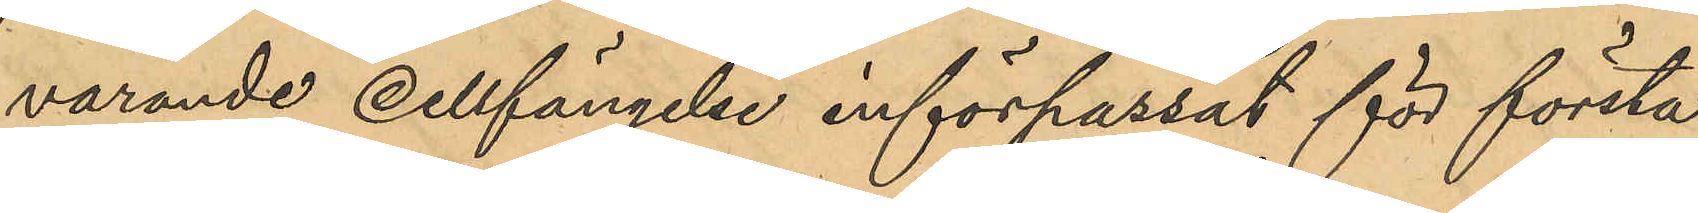varande cellfängelse införpassat för första
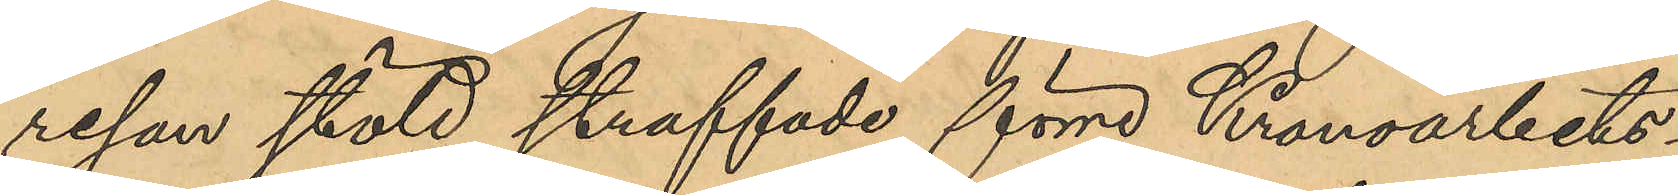resan stöld straffade förre Kronoarbets¬
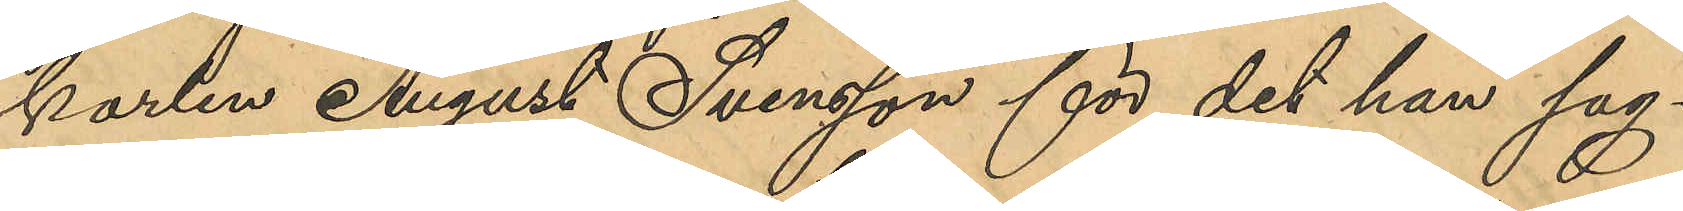karlen August Svensson för det han sag¬
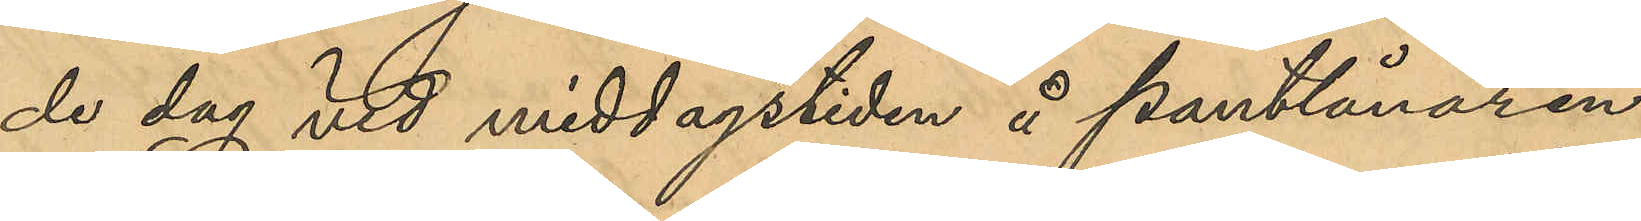de dag vid middagstiden å pantlånaren
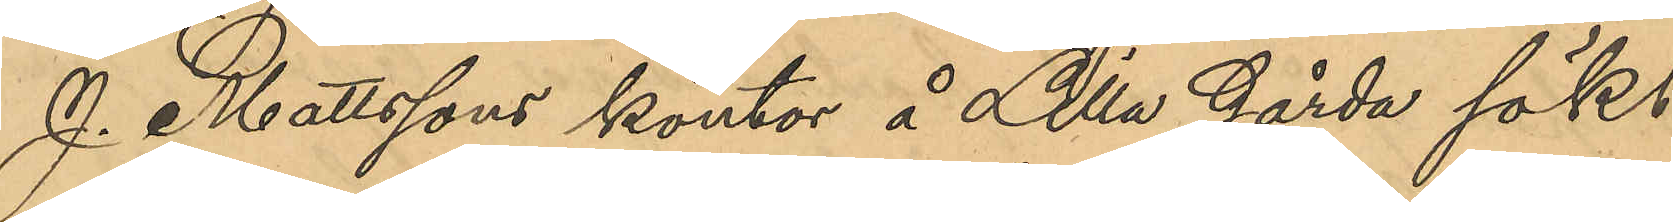J. Mattssons kontor å Lilla Gårda sökt
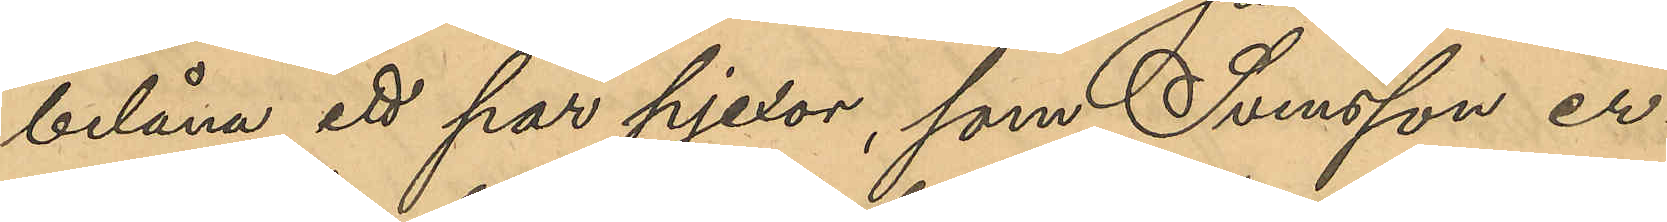belåna ett par pjexor, som Svensson er¬
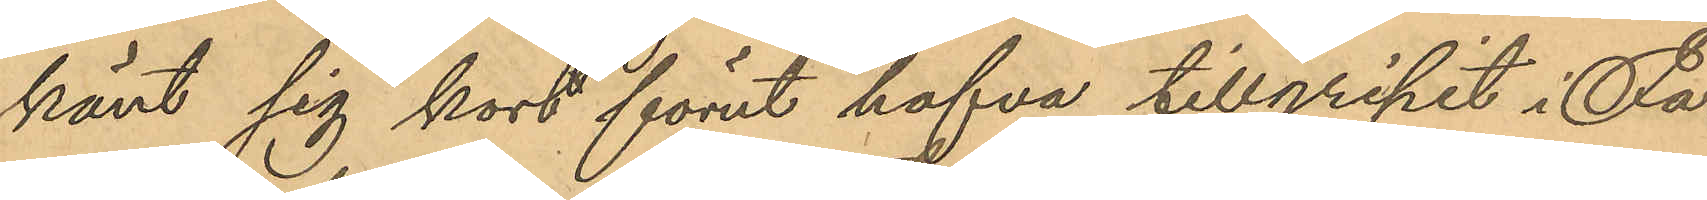känt sig kort förut hafva tillgripit i Fa¬
